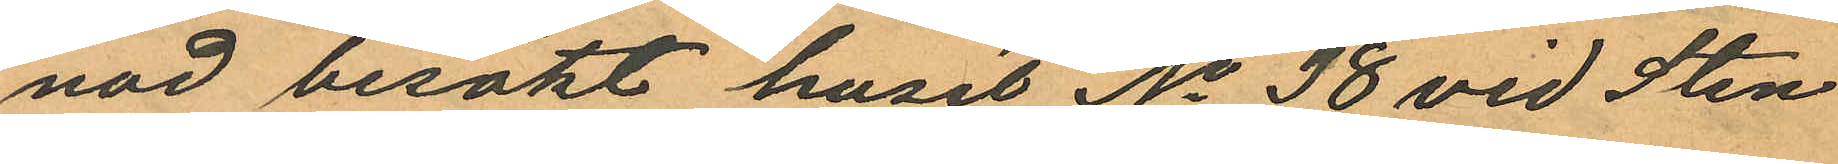nad besökt huset No 38 vid Sten
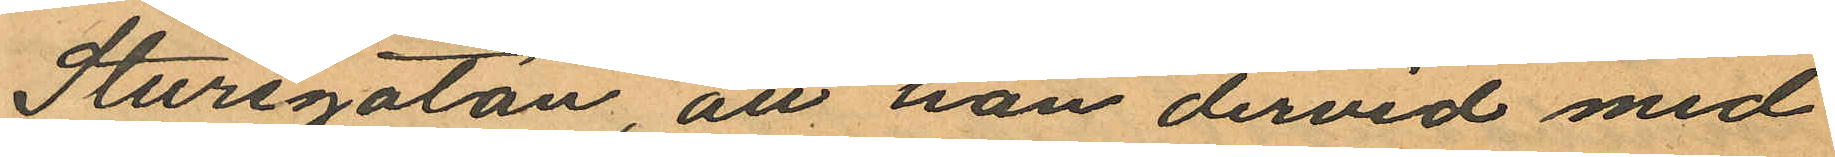Sturegatan, att han dervid med
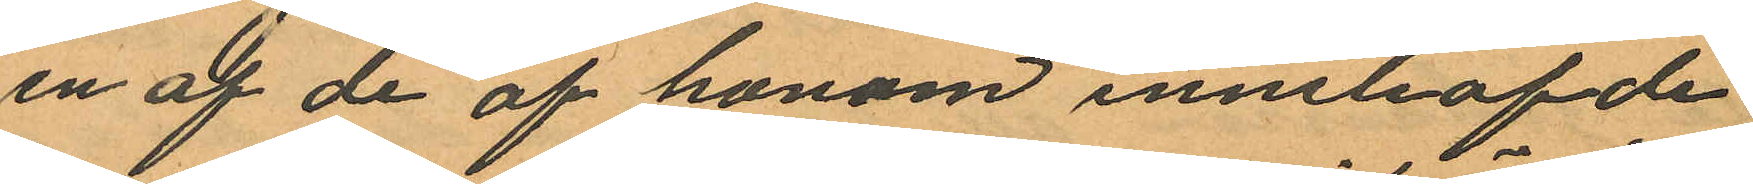en af de af honom innehafde
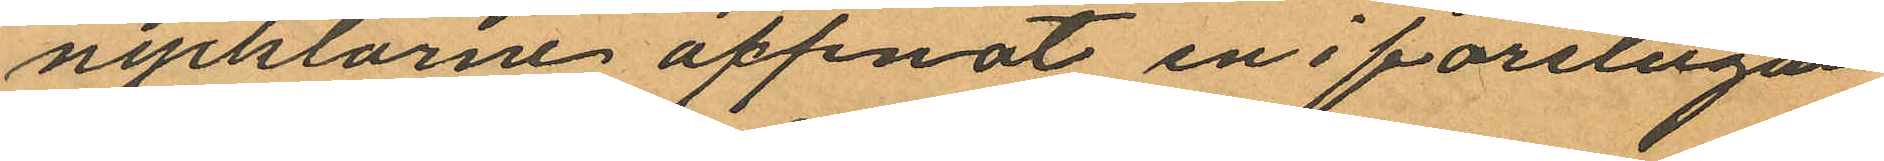nycklarne öppnat en i förstugan
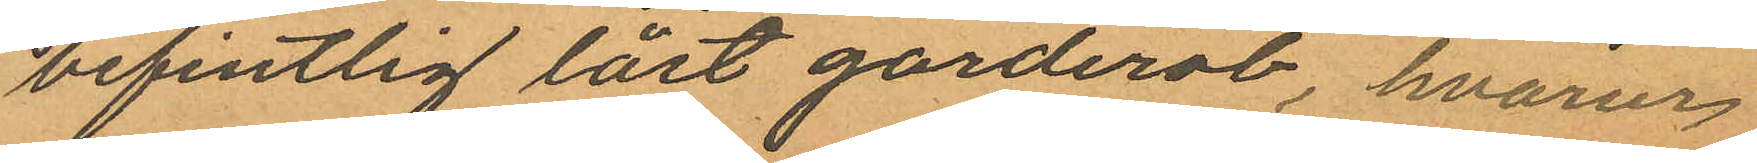befintlig låst garderob, hvarur
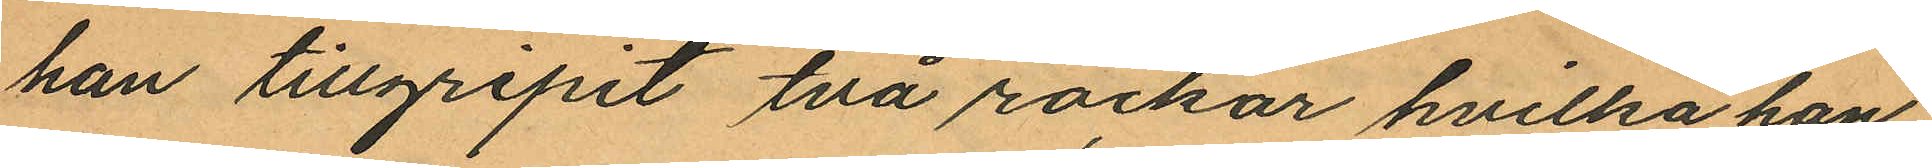han tillgripit två rockar hvilka han
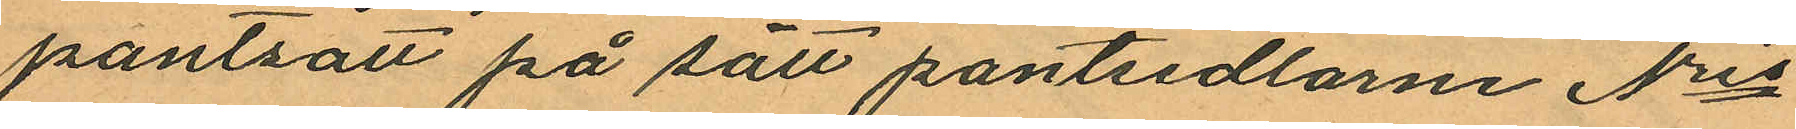pantsatt på sätt pantsedlarne Nris
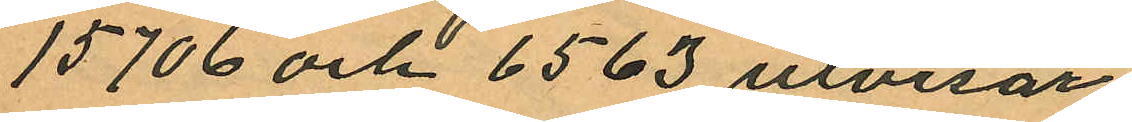15706 och 6563 utvisar
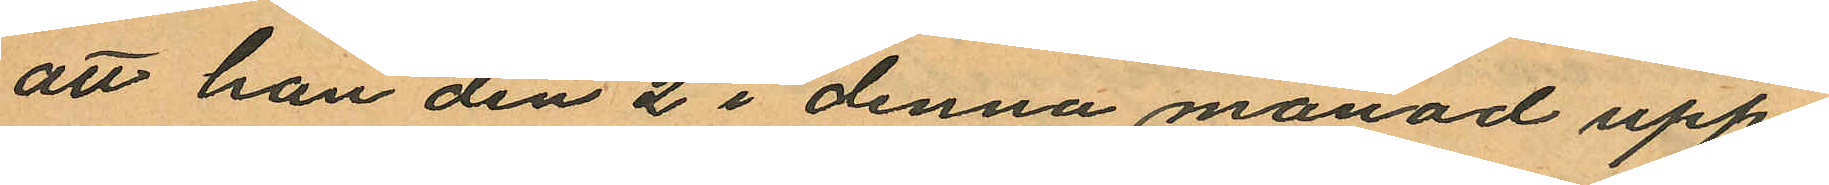att han den 2 i denna månad upp¬
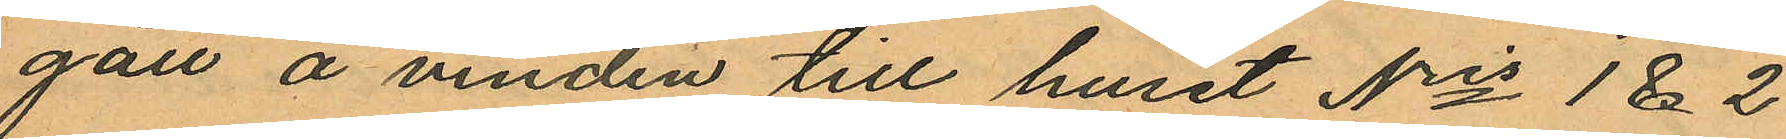gått å vinden till huset Nris 1 & 2
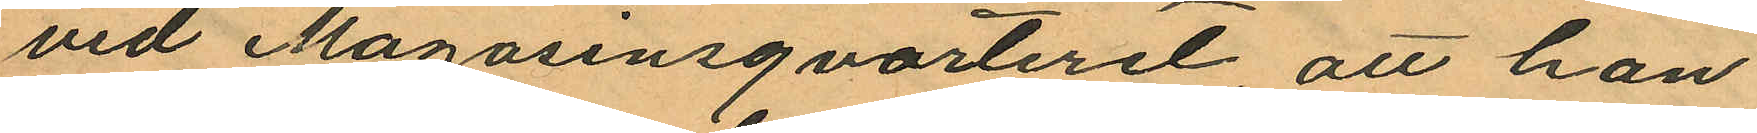vid Magasinsqvarteret, att han
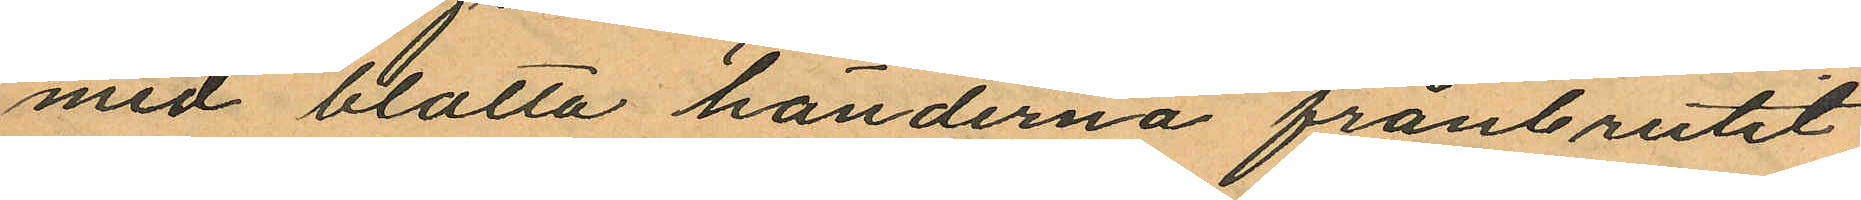med blotta händerna frånbrutit
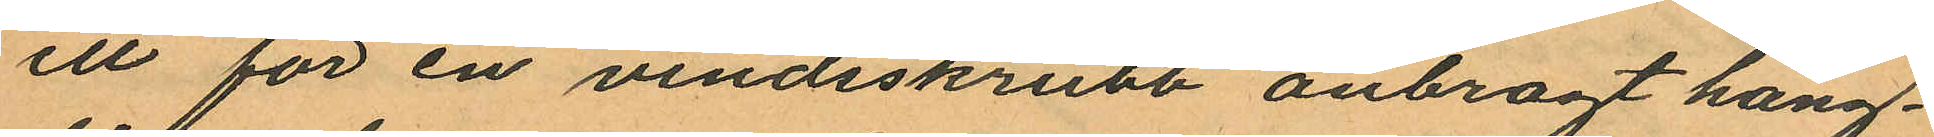ett för en vindsskrubb anbragt häng¬
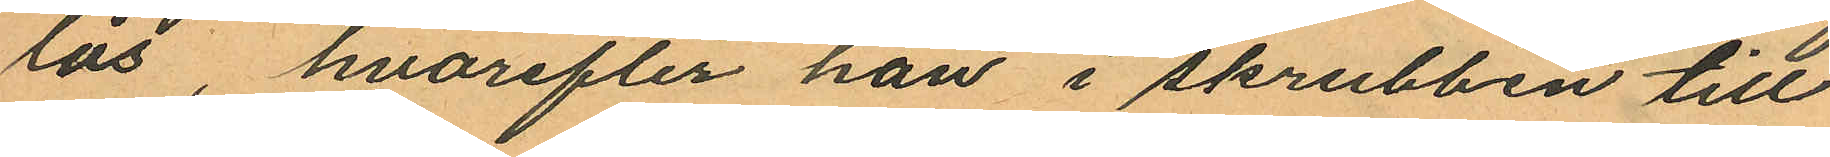lås, hvarefter han i skrubben till
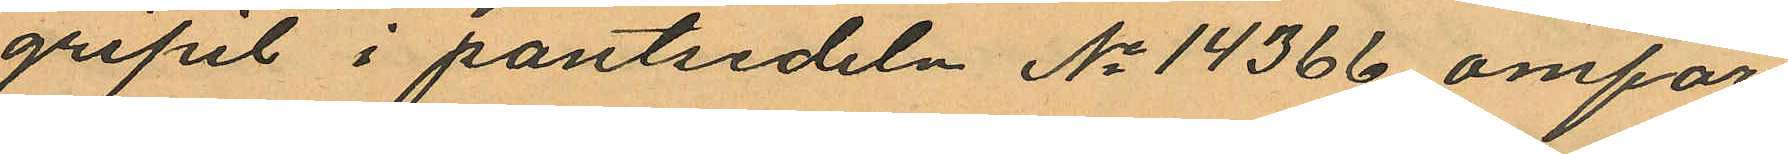gripit i pantsedeln No 14366 omför
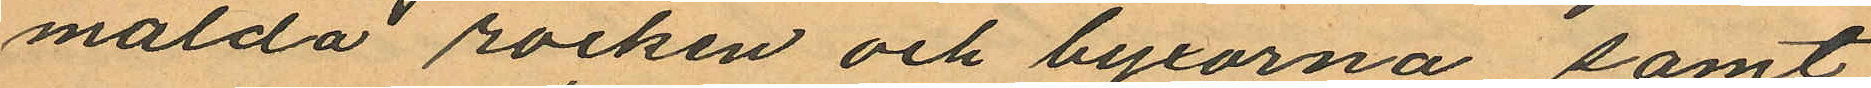mälda rocken och byxorna samt
